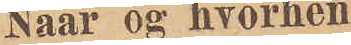Naar og hvorhen
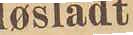løsladt
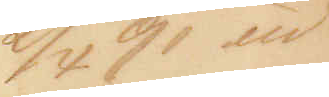2/4 91 ud¬
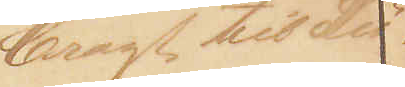bragt til Lü¬
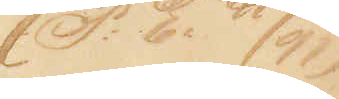(P: E: 41/91)
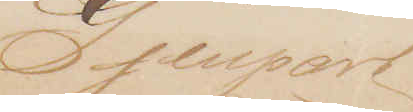Gjenpart
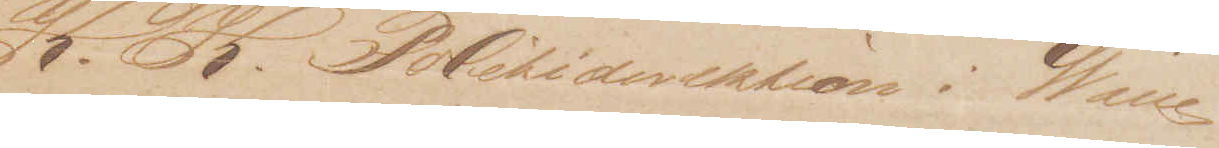K. K. Politidirektion i Wien
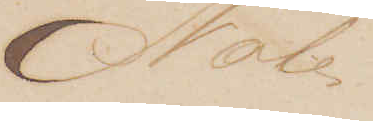Note
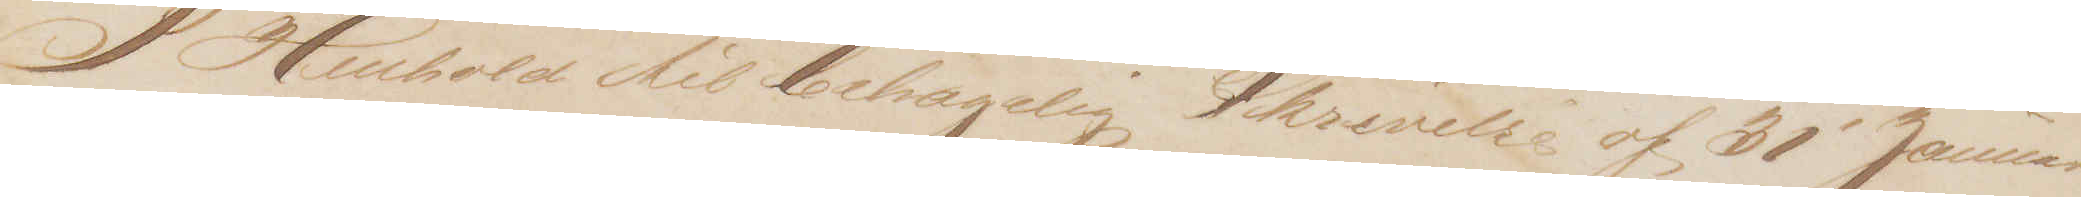I Henhold til behagelig Skrivelse af 31' Januar
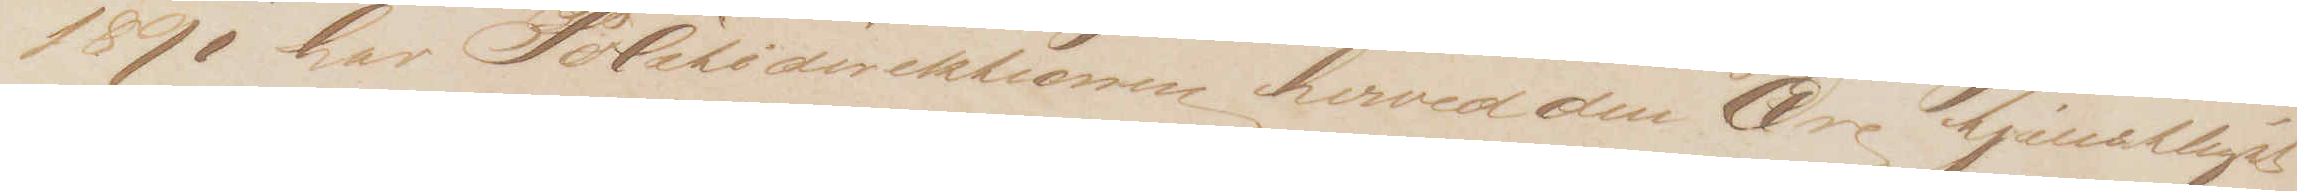1891 har Politidirektionen hverved den Ære tjenstligst
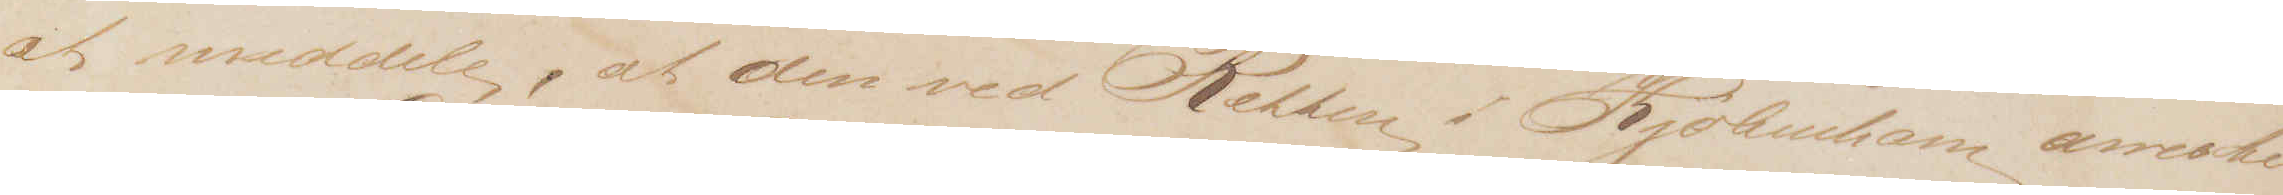at meddele, at den ved Retten i Kjøbenhavn arreste¬
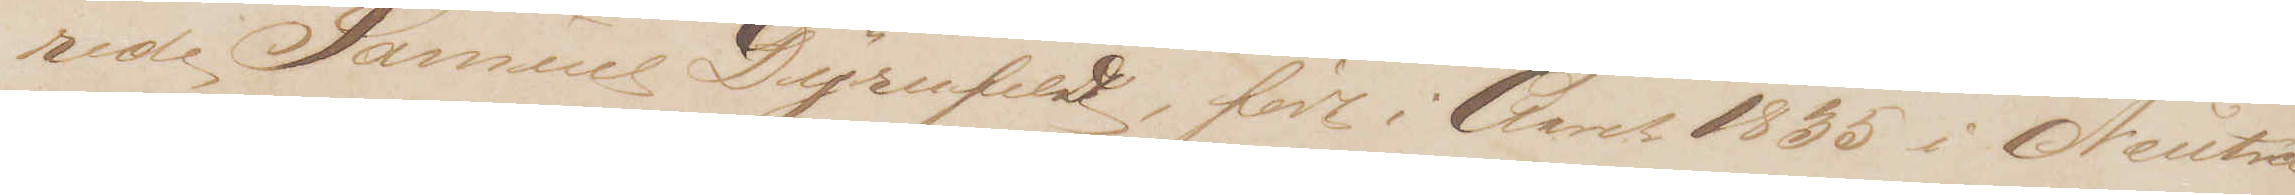rede Samuel Dÿrnfeldt, født i Aaret 1835 i Neutra
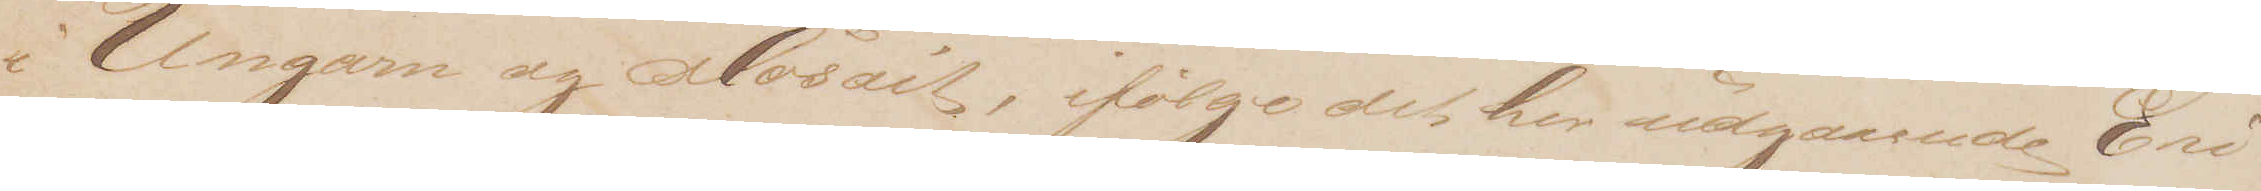i Ungarn og Mosait, ifølge det her udgaaende Evi¬
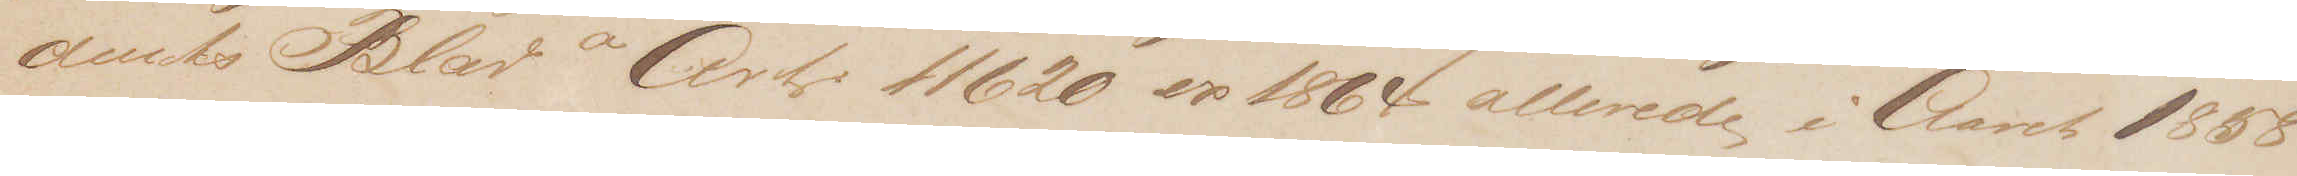dents Blad a Art. 11620 ex 1864 allerede i Aaret 1858
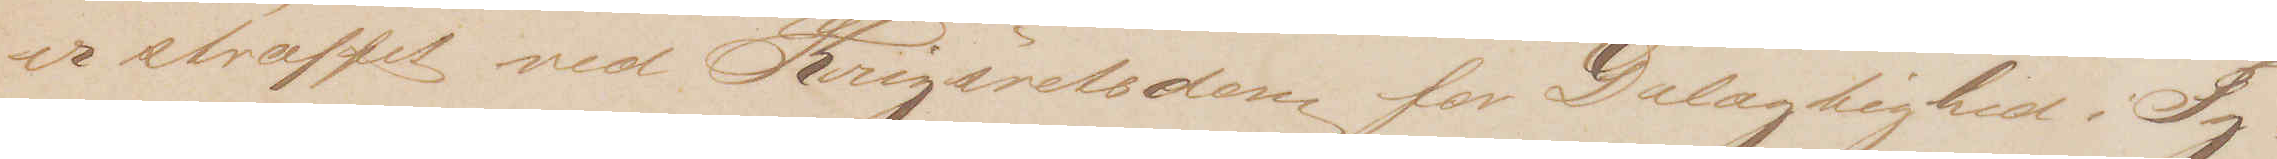er straffet ved Krigsretsdom for Delagtighed i Ty¬
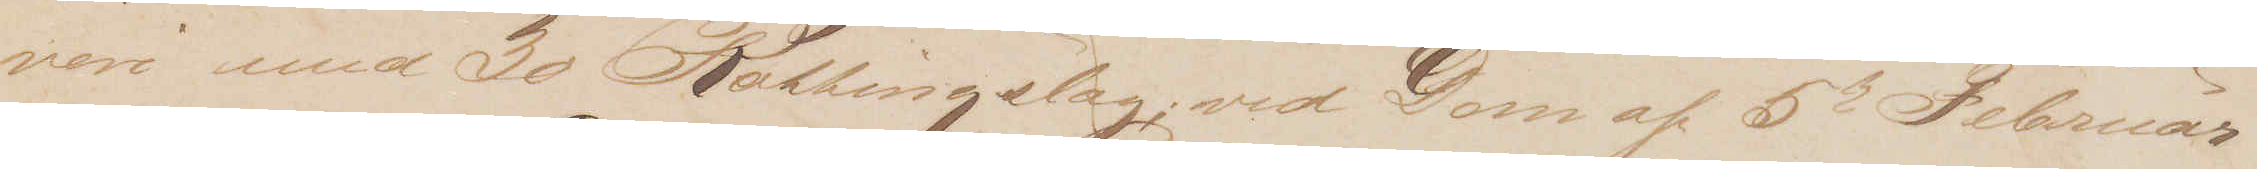veri med 30 Rottingslag; ved Dom af 5te Februar
